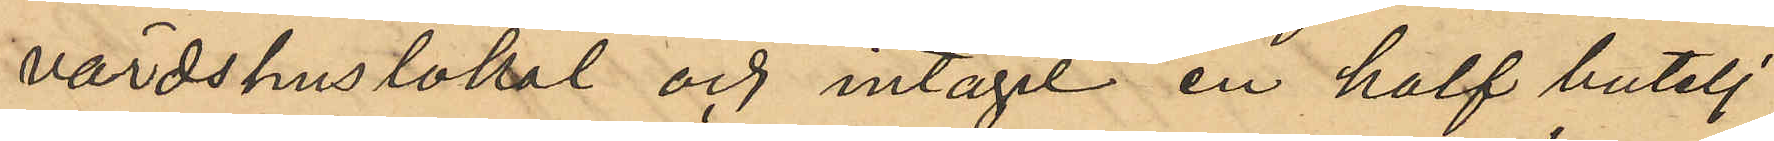värdshuslokal och intagit en half butelj
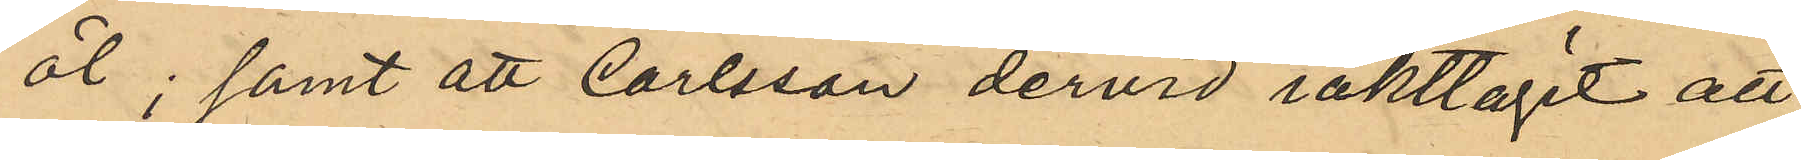öl; samt att Carlsson dervid iakttagit att
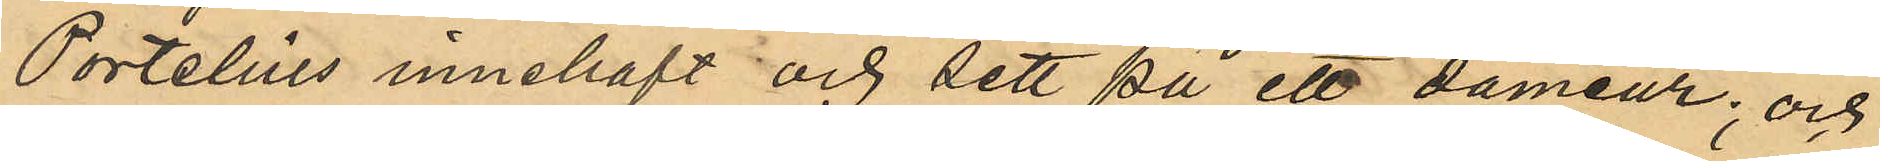Portelius innehaft och sett på ett dameur; och
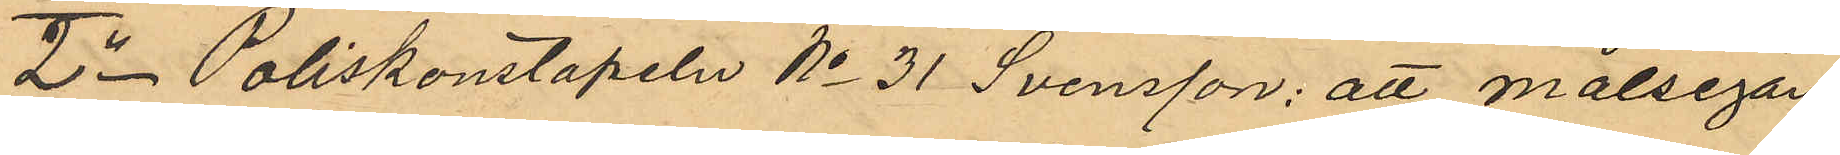2o Poliskonstapeln No 31 Svensson: att målsegan¬
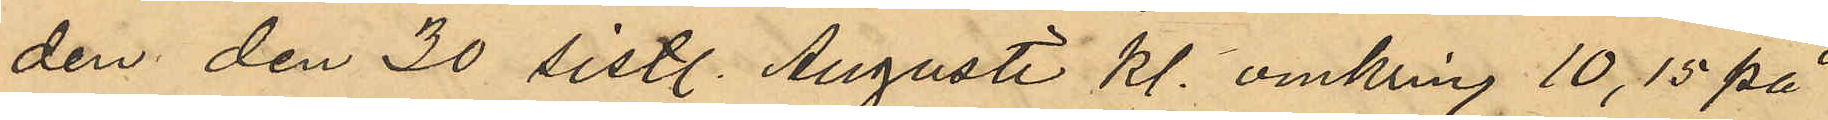den den 30 sistl. Augusti kl. omkring 10,15 på
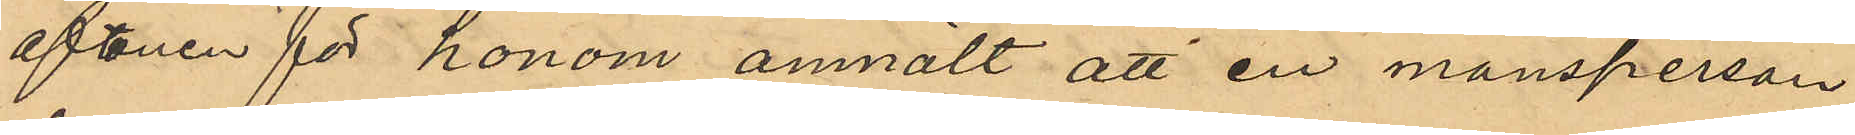aftonen för honom anmält att en mansperson
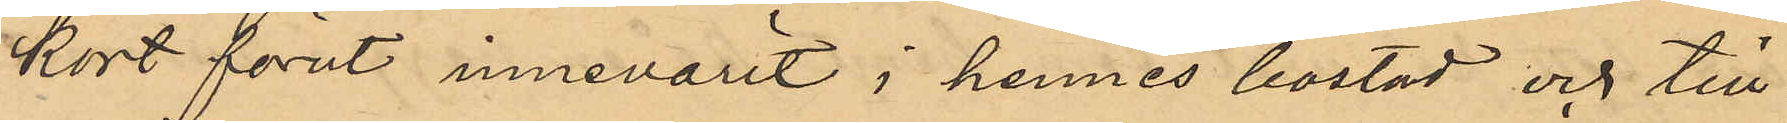kort förut innevarit i hennes bostad och till¬
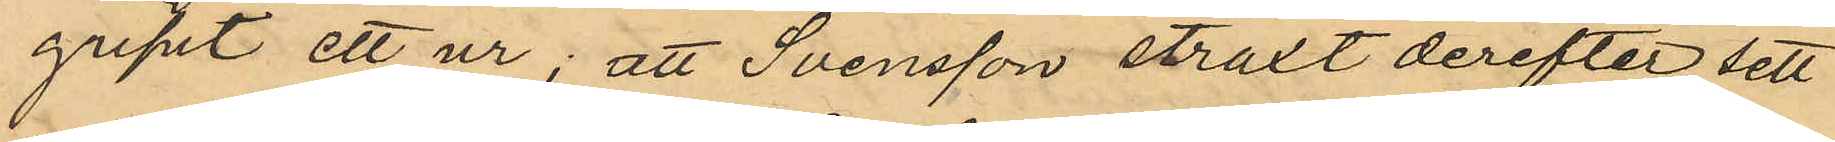gripit ett ur; att Svensson straxt derefter sett
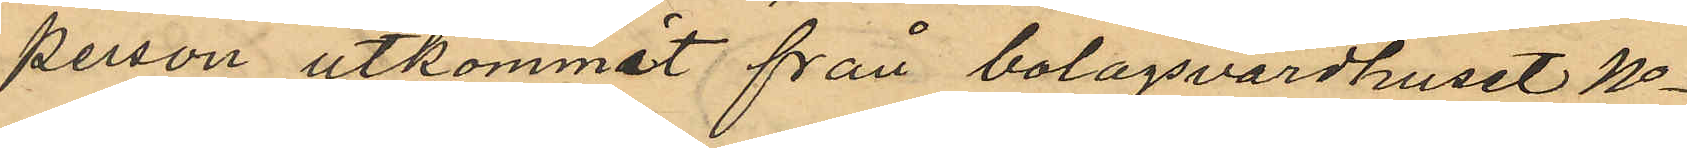person utkommit från bolagsvärdhuset No
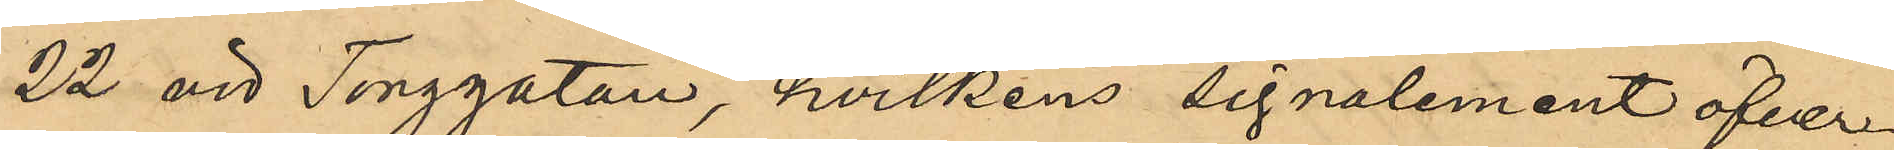22 vid Torggatan, hvilkens signalement öfver¬
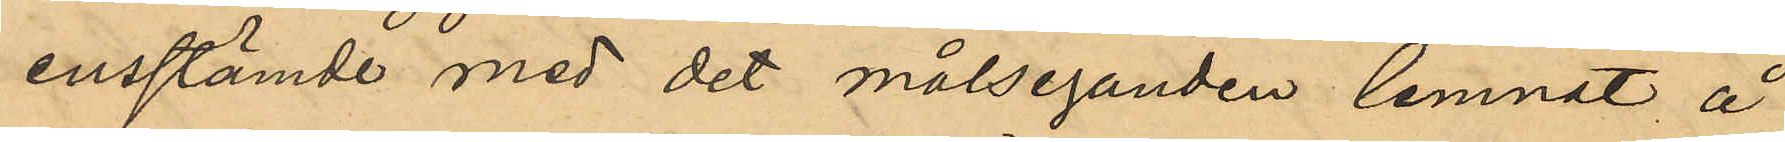ensstämde med det målseganden lemnat å
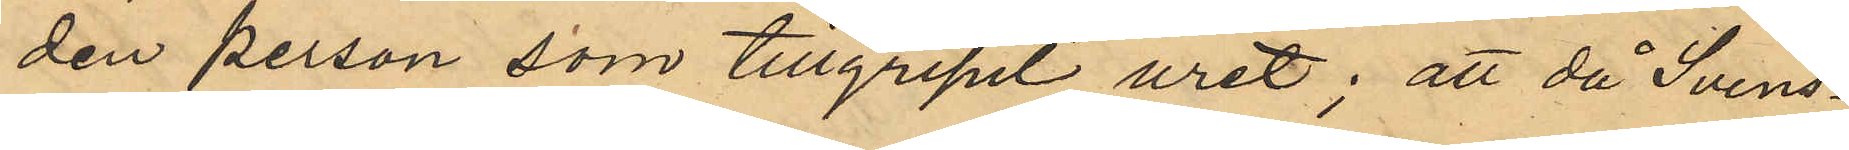den person som tillgripit uret; att då Svens¬
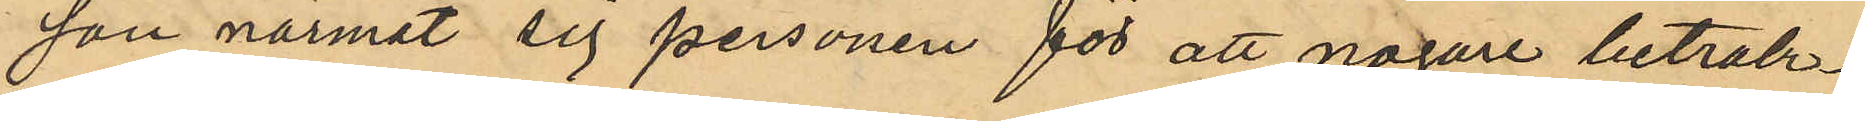son närmat sig personen för att nogare betrak¬
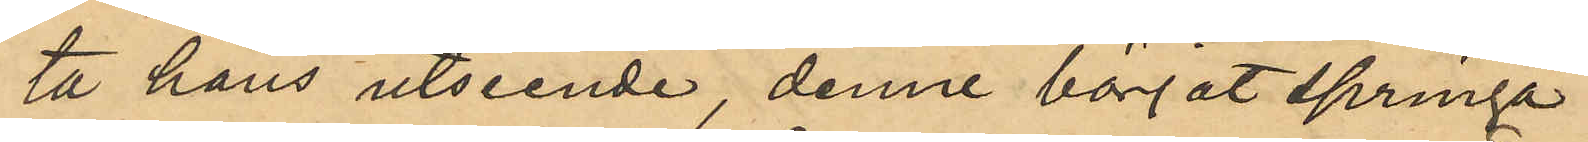ta hans utseende, denne börjat springa
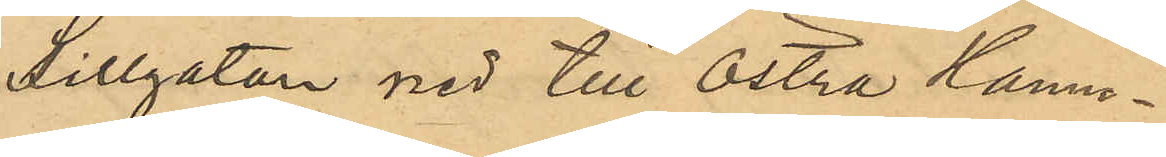Sillgatan ned till Östra Hamn¬
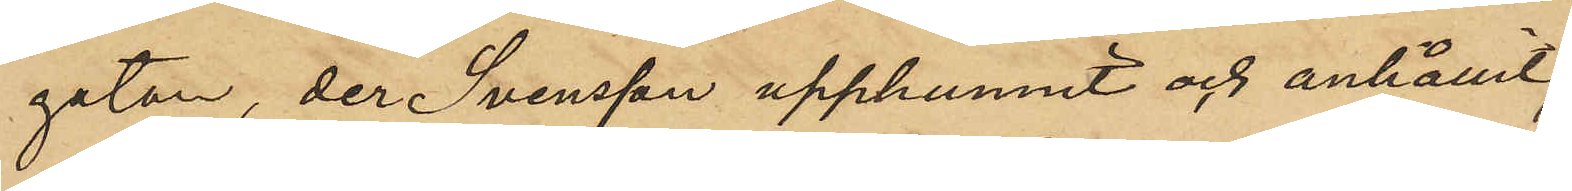gatan, der Svensson upphunnit och anhållit
